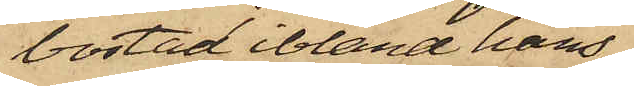bostad ibland hans
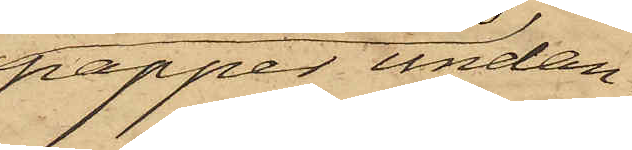papper undan¬
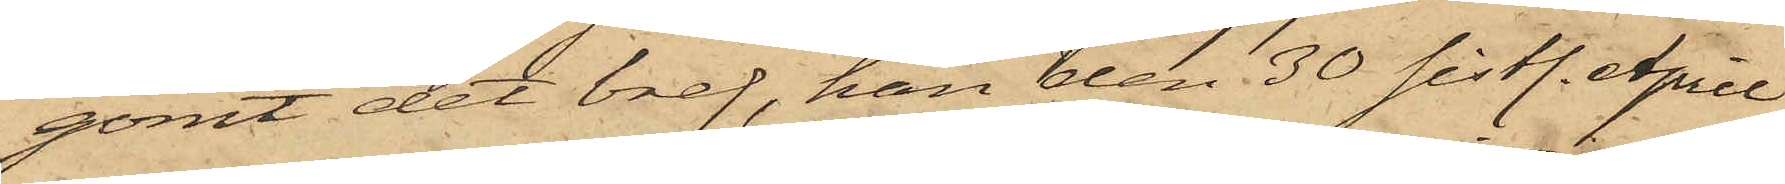gömt det bref, han den 30 sistl. April
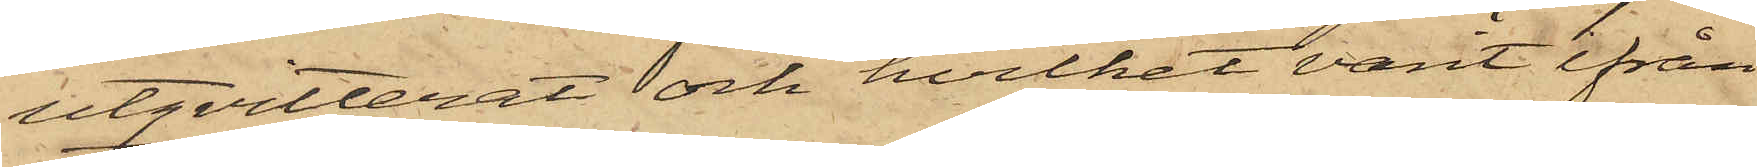utqvitterat och hvilket varit ifrån
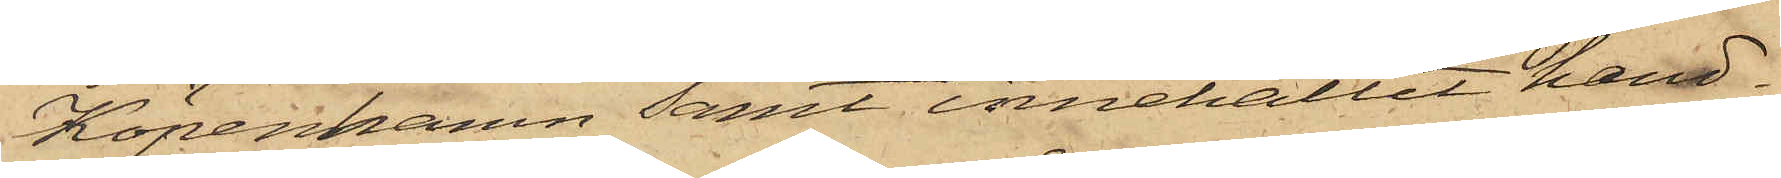Köpenhamn samt innehållit hand¬
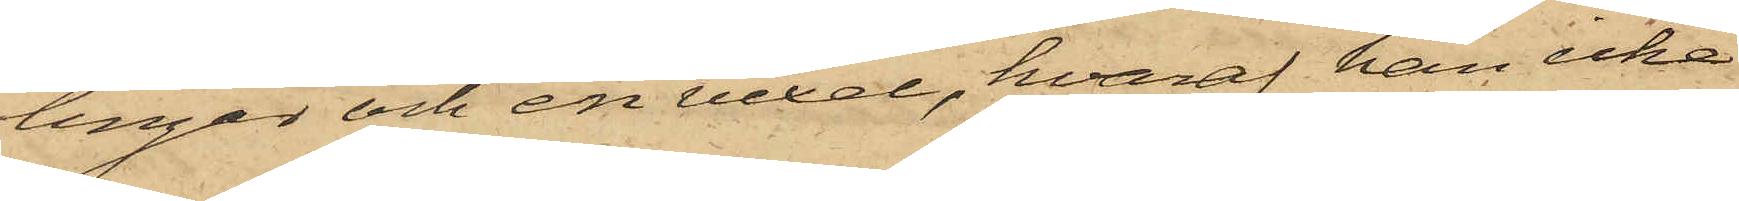lingar och en vexel, hvaraf han icke
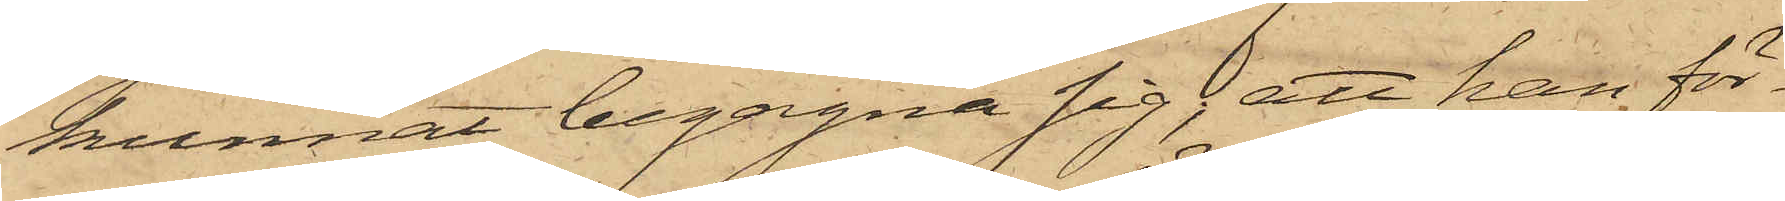kunnat begagna sig; att han för¬
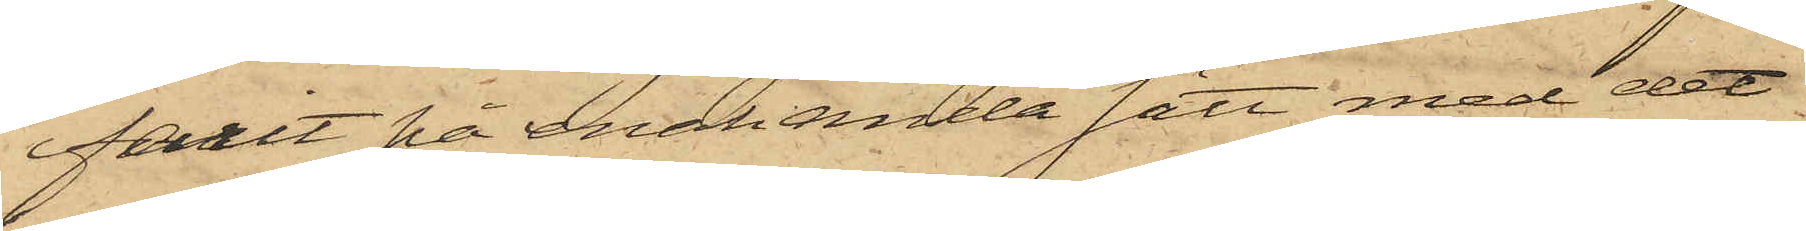farit på enahanda sätt med det
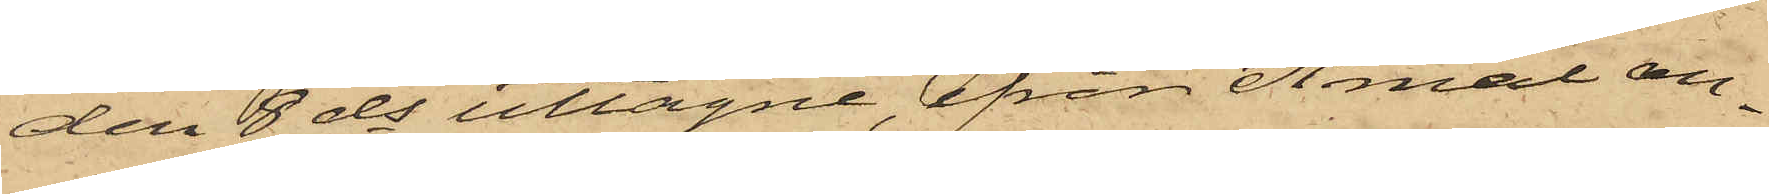den 8 ds uttagne, från Åmål an¬
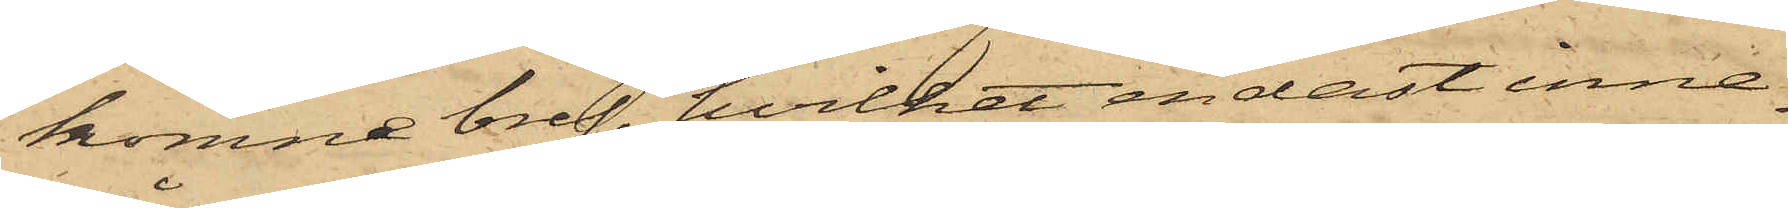komne bref, hvilket endast inne¬
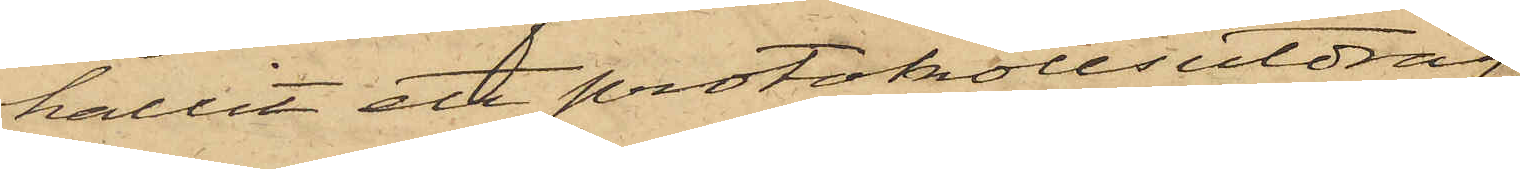hållit ett protokollsutdrag;
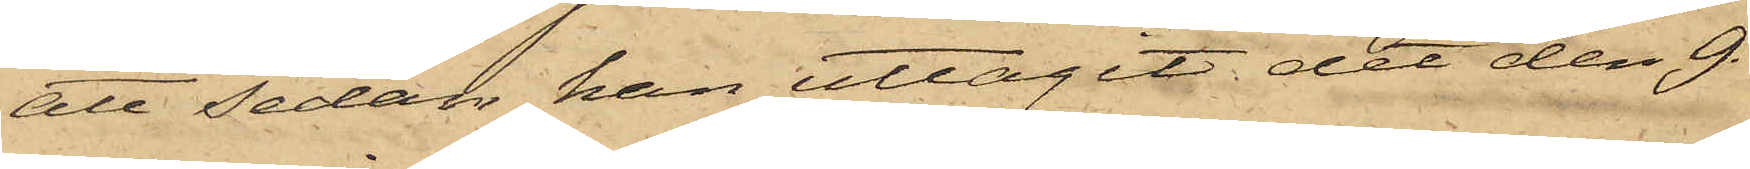att sedan han uttagit det den 9
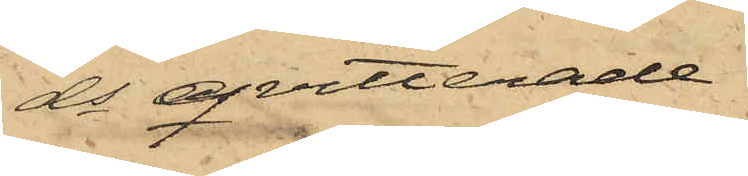ds qvitterade
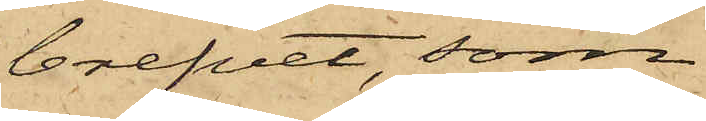brefvet, som
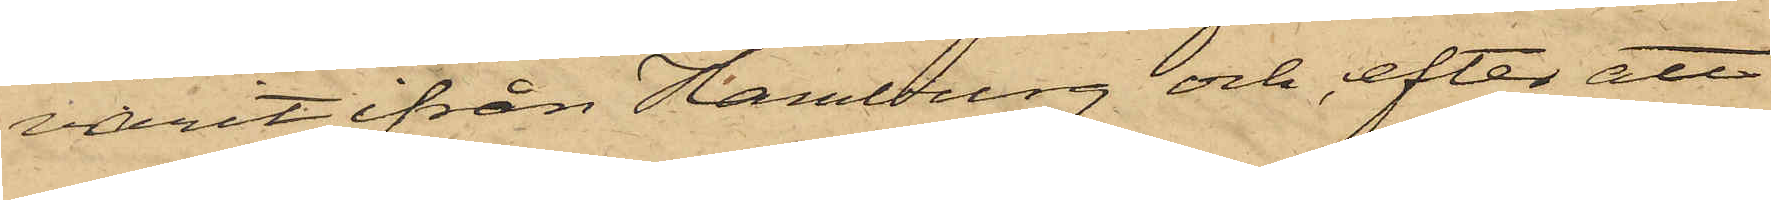varit ifrån Hamburg och efter att
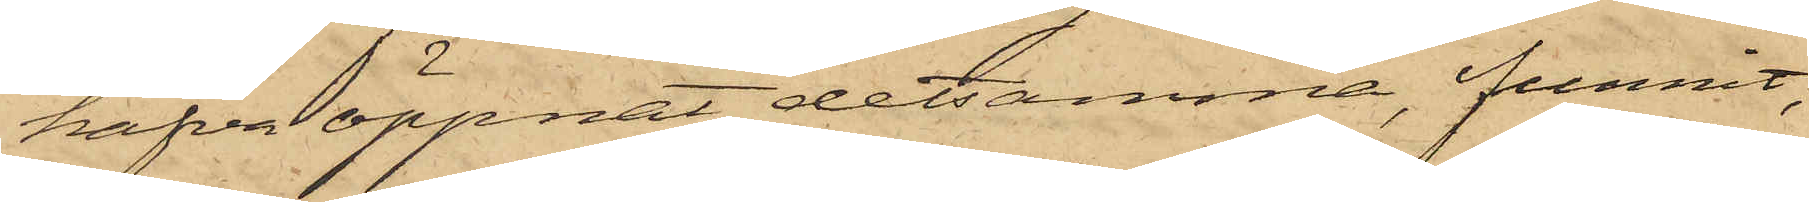hafva öppnat detsamma, funnit,
